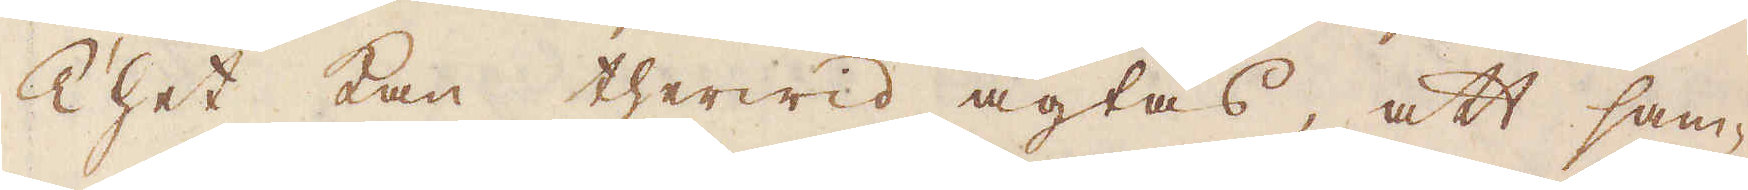Thet kan therwid agtas, att sam-
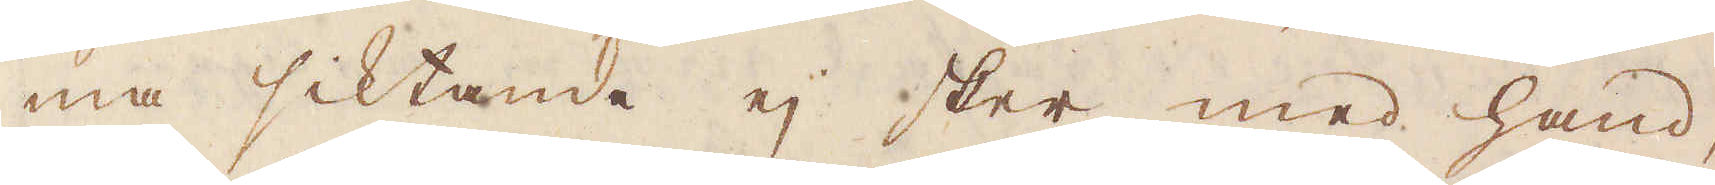ma siktande ej sker med hand,
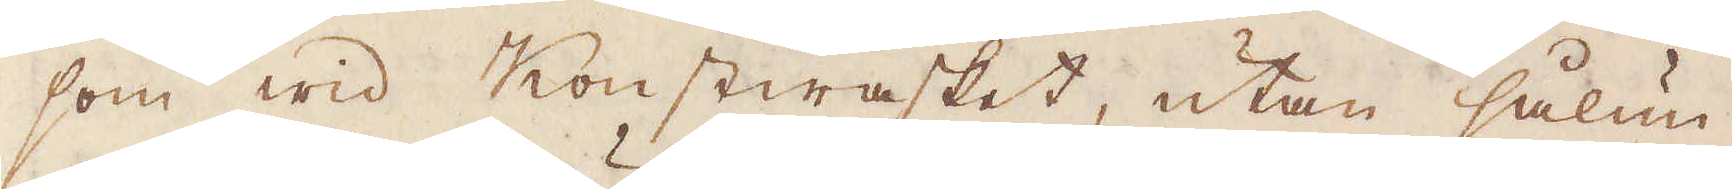som wid Konstwasket, utan sålun-
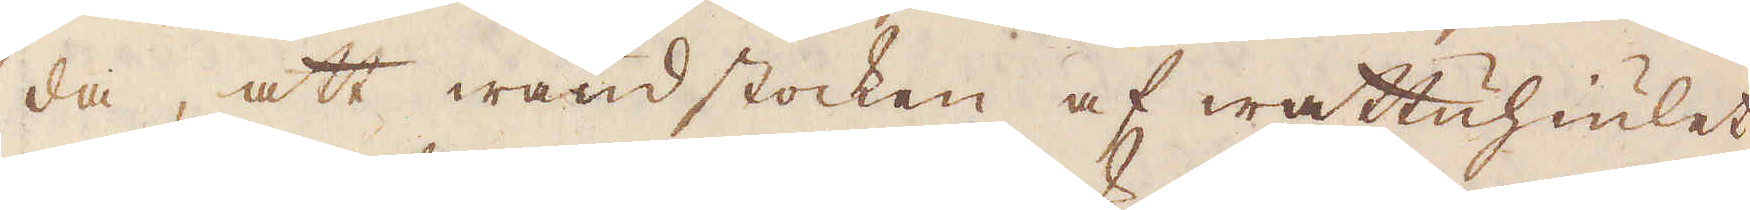da, att wändstocken af wattuhiulet,
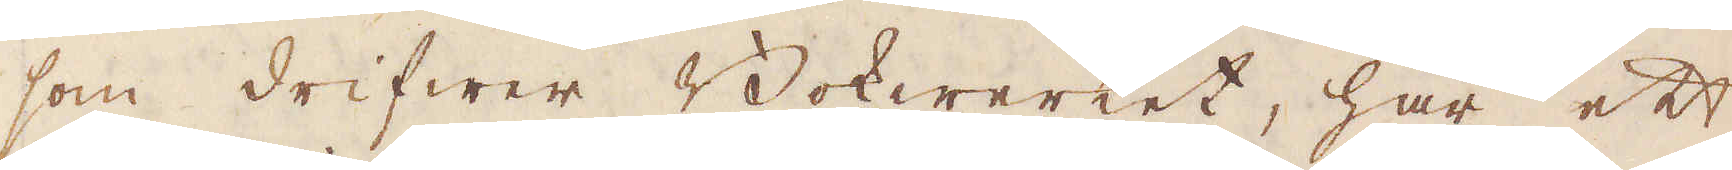som drifwer Bokwerket, har ett
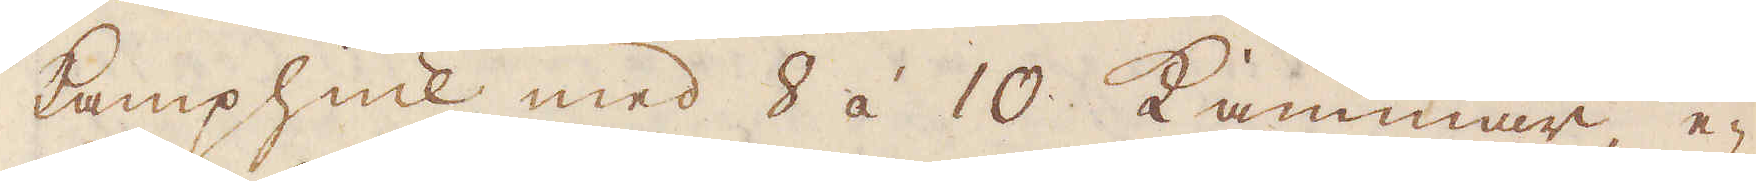kamphiul med 8 á 10 Kammar, e-
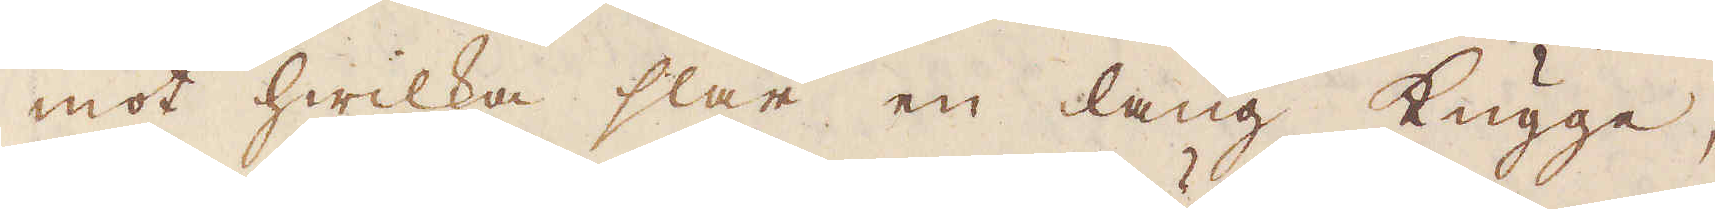mot hwilka slår en lång kugge,
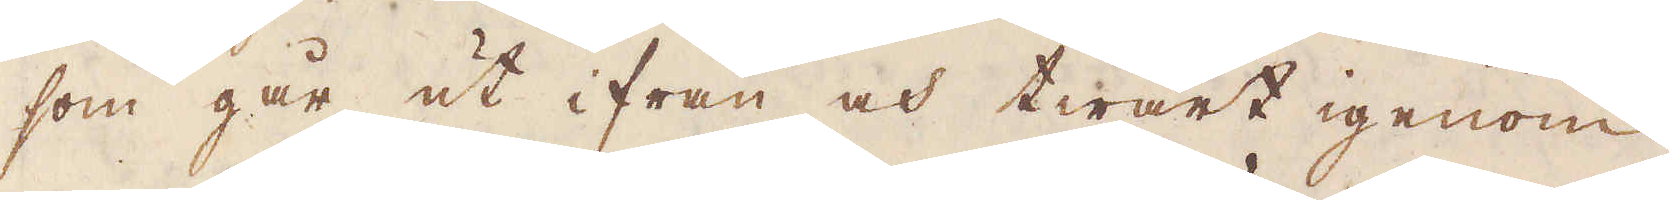som går ut ifrån och twart igenom
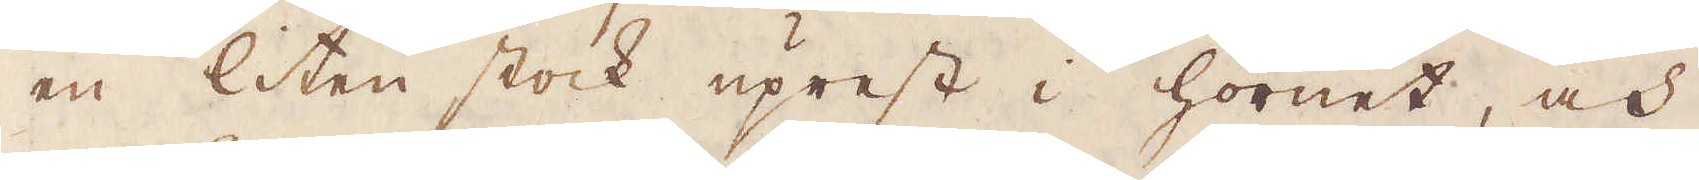en liten stock uprest i hörnet, och
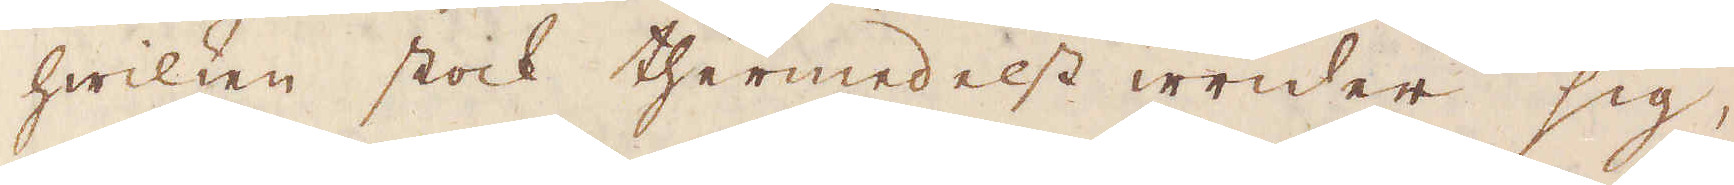hwilken stock thermedelst wrider sig,
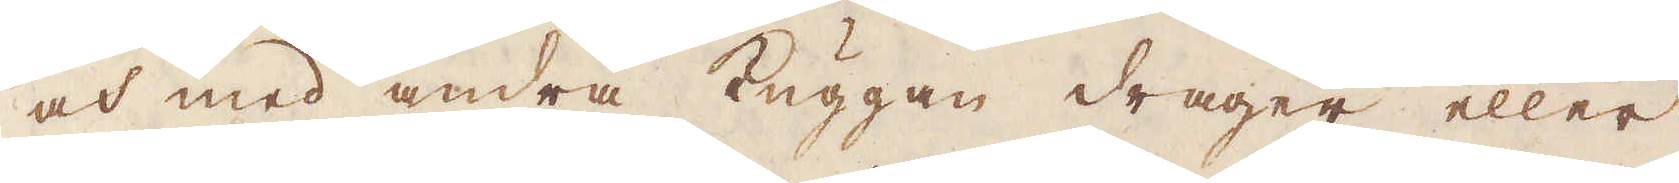och med andra kuggen drager eller
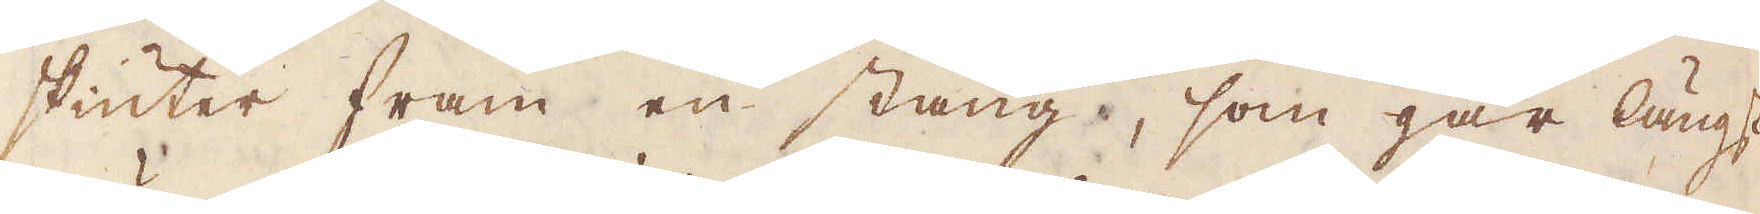skiuter fram en stång, som går längs
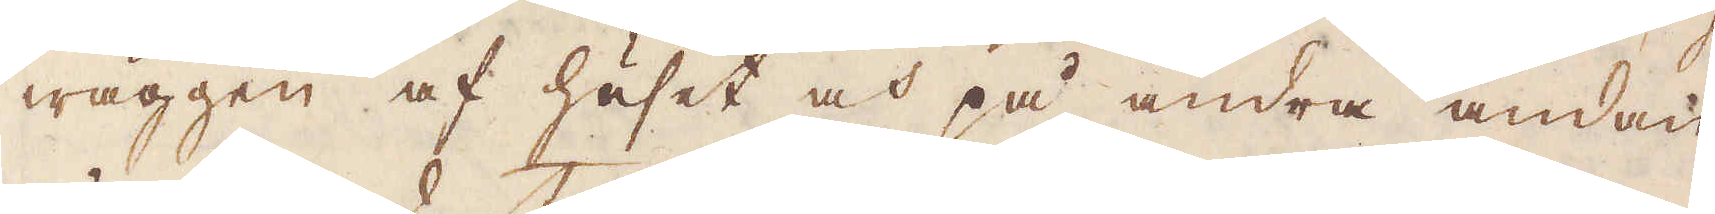wäggen af huset och på andra ändan
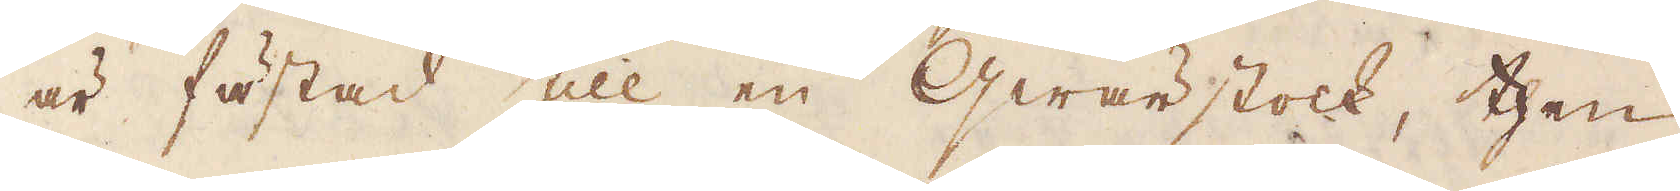är fästad till en qwärstock, then
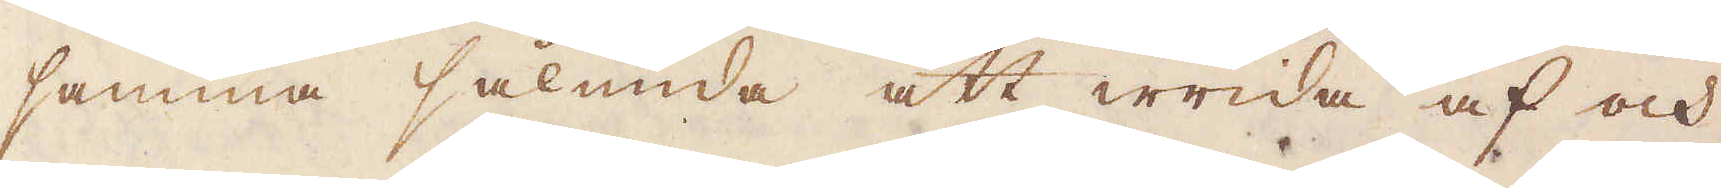samma sålunda att wrida af och
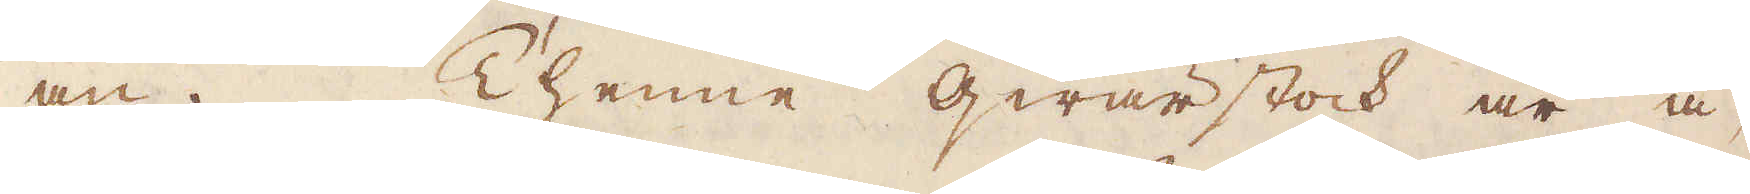an. Thenne qwärstock är å-
